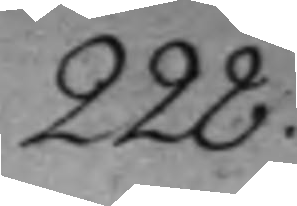228.
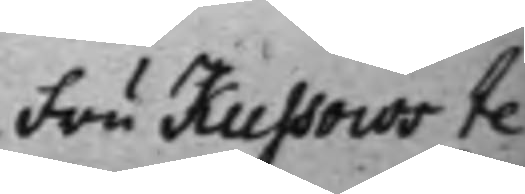Fru Kussous te¬
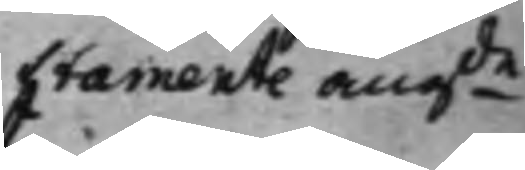stamente angde
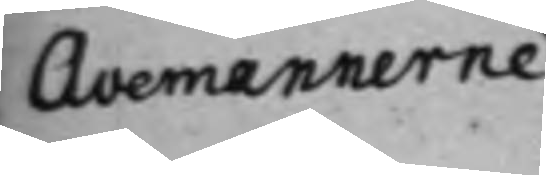Avemännerne
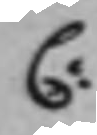C:
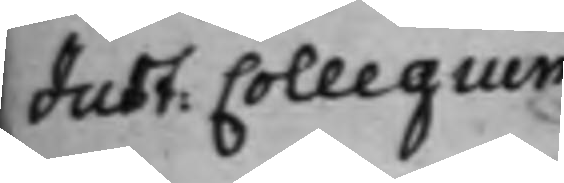Just. Collegium
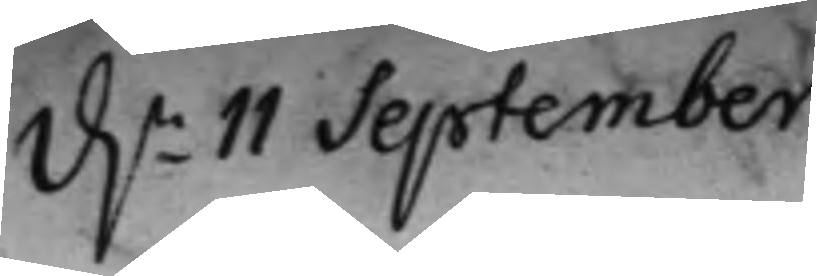d.n 11 September
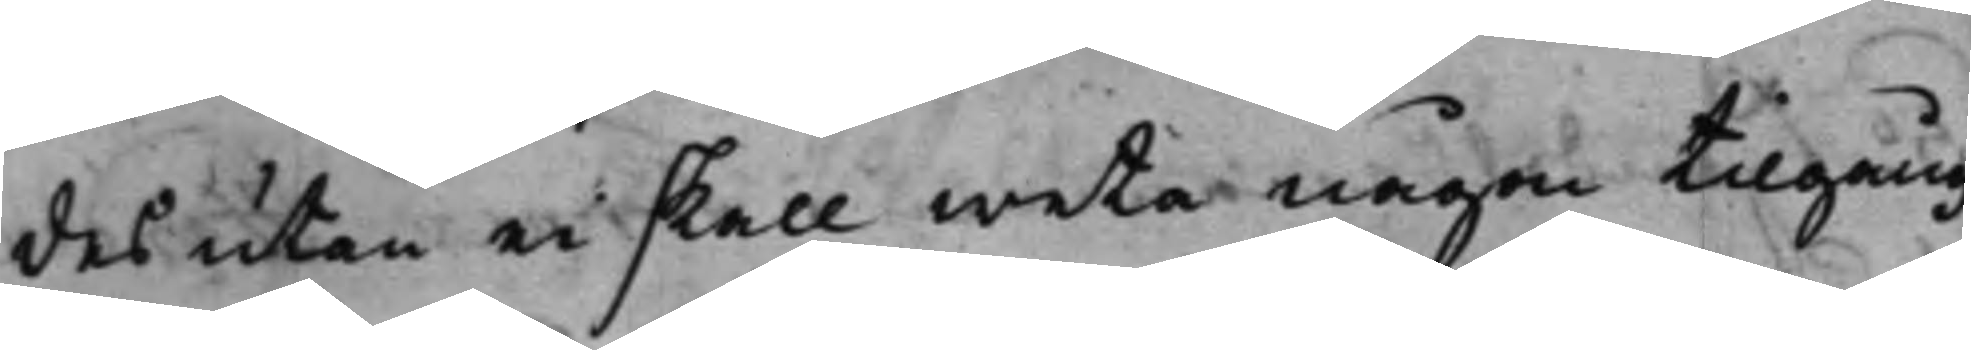des utan ei skall weta någon tilgång
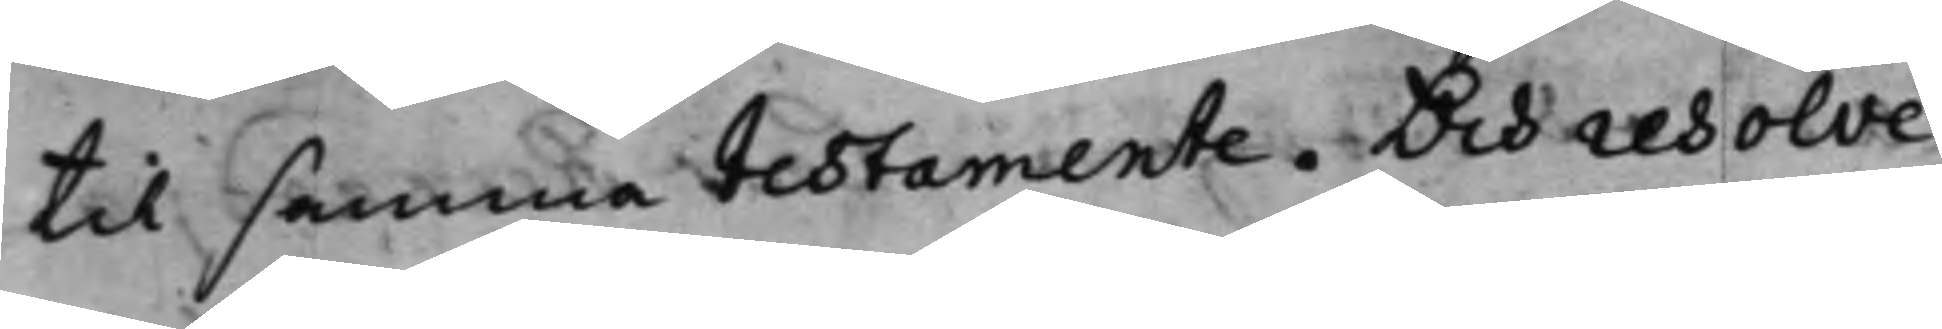til samma testamente. Och resolve¬
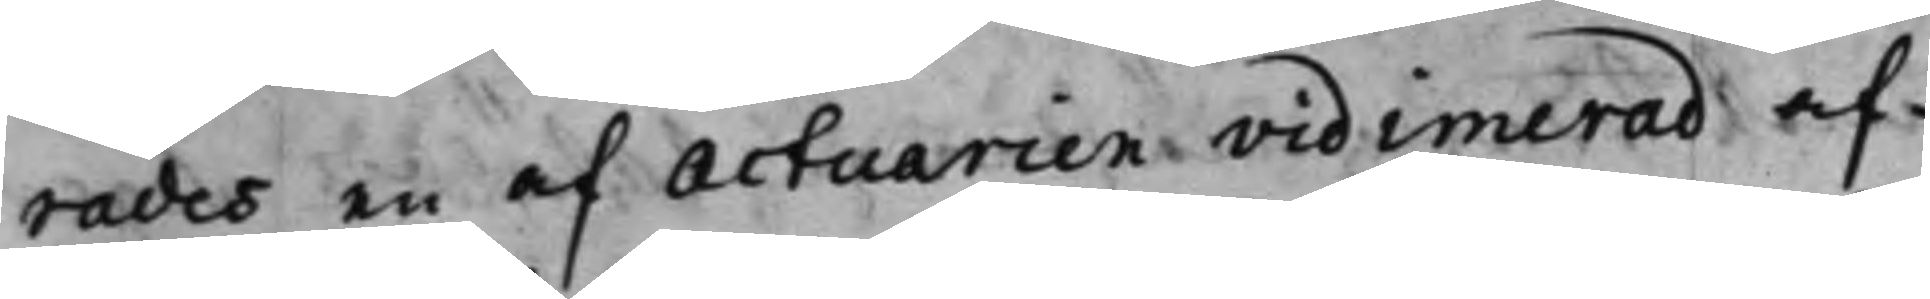rades en af Actuarien vidimerad af¬
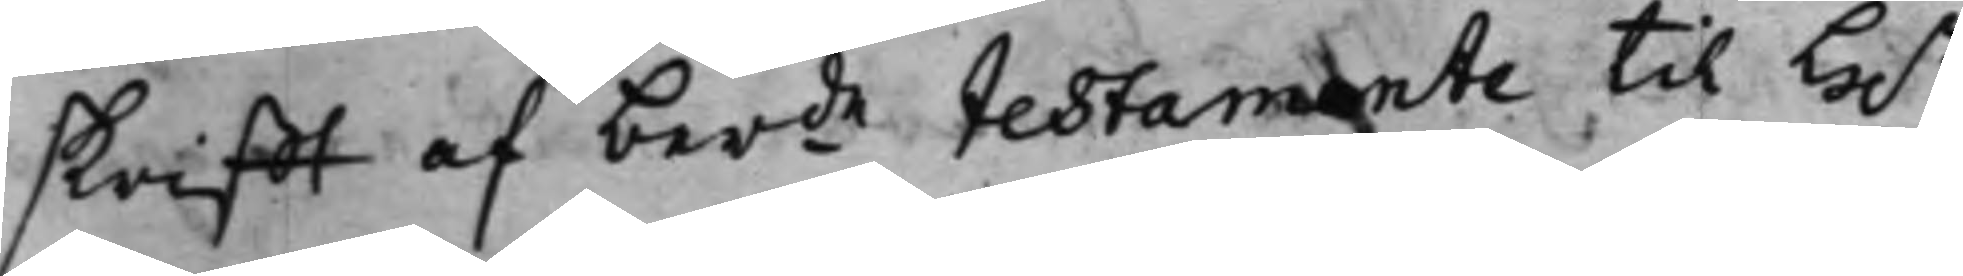skrifft af berde testamente till H.r
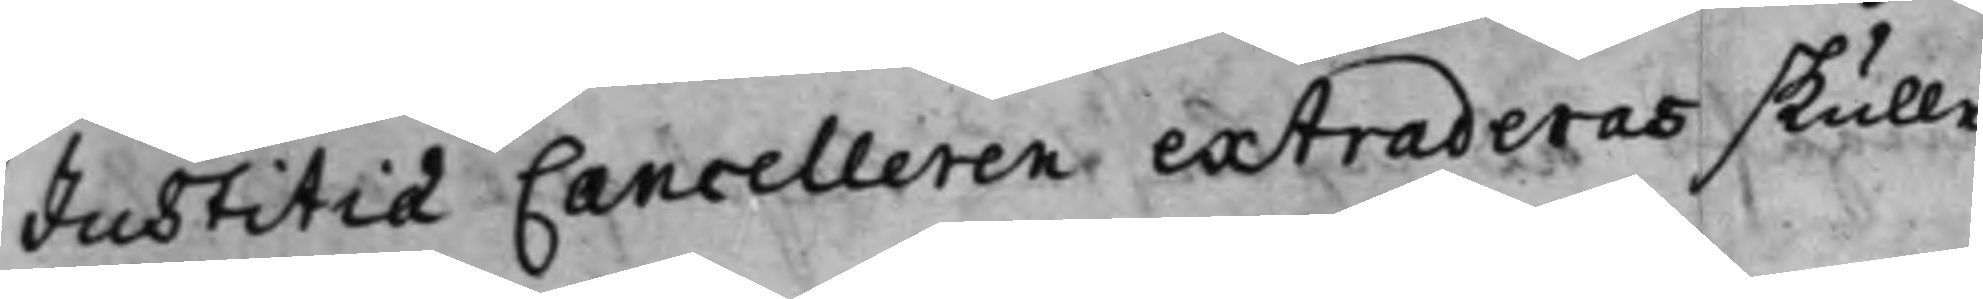Justitiæ Cancelleren extraderas skulle
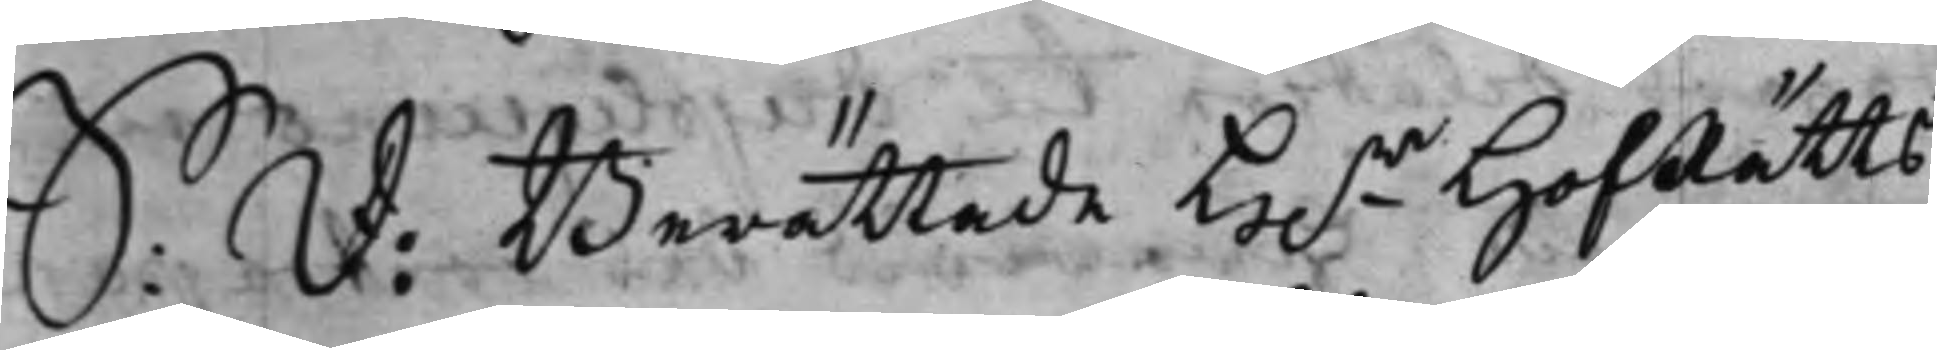S: D: Berättade H.r HofRätts
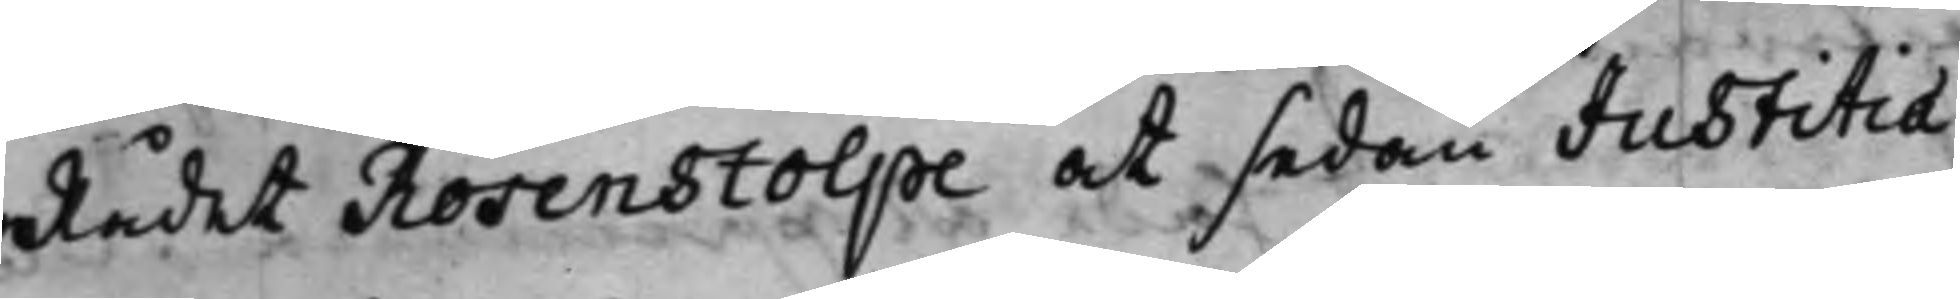Rådet Rosenstolpe at sedan Justitiæ
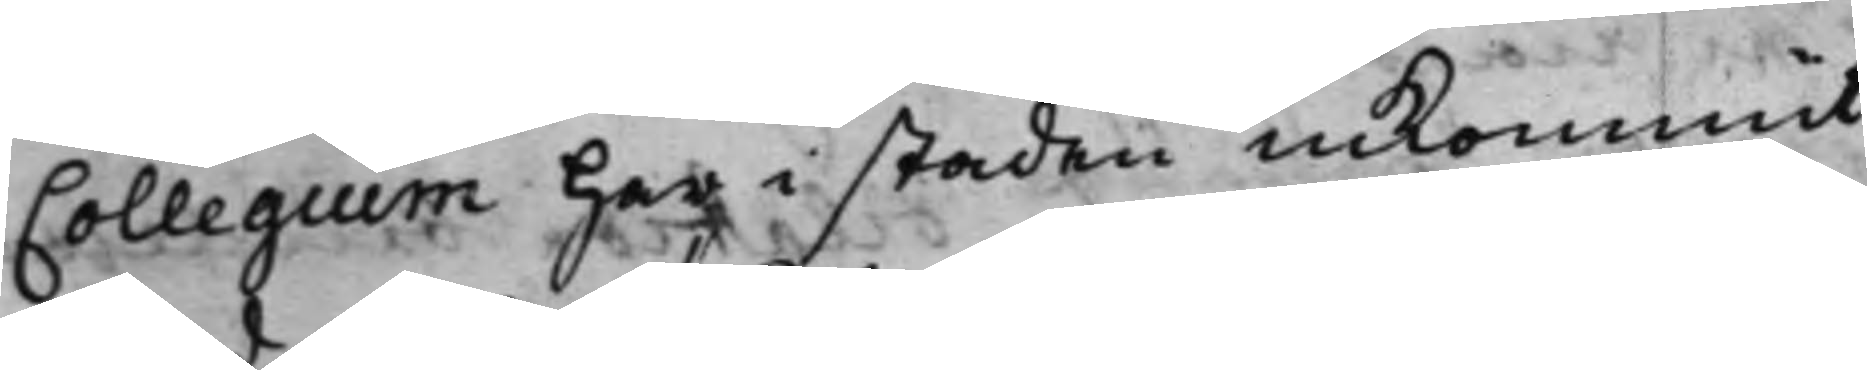Collegium har i staden inkommit
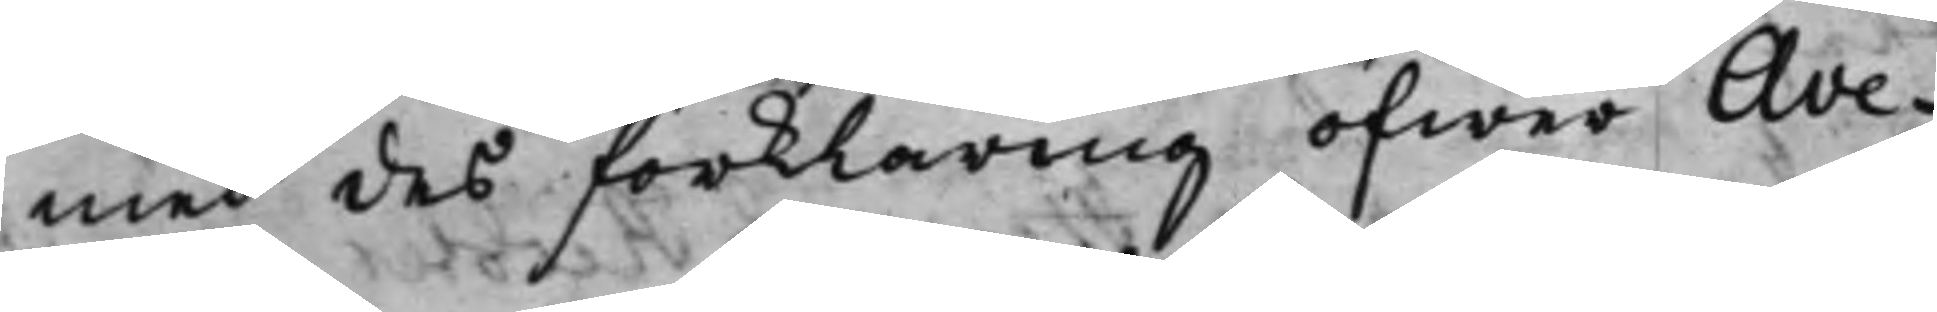med des förklaring öfwer Ave¬
